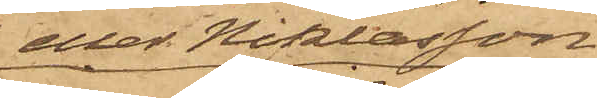eller Niklasson
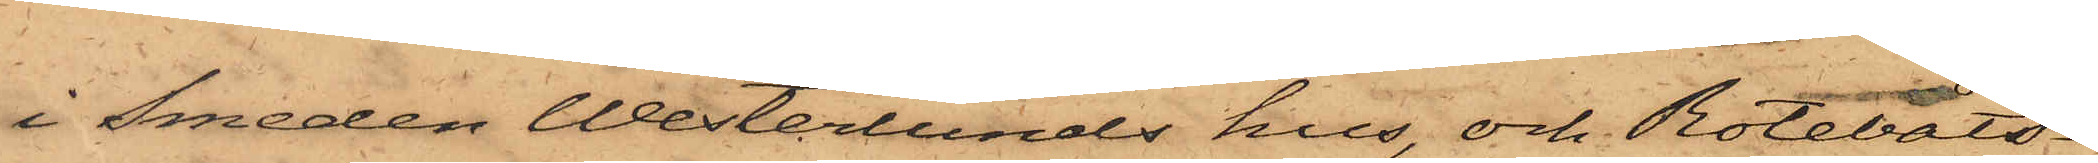i Smeden Westerlunds hus, och Rotebåts¬
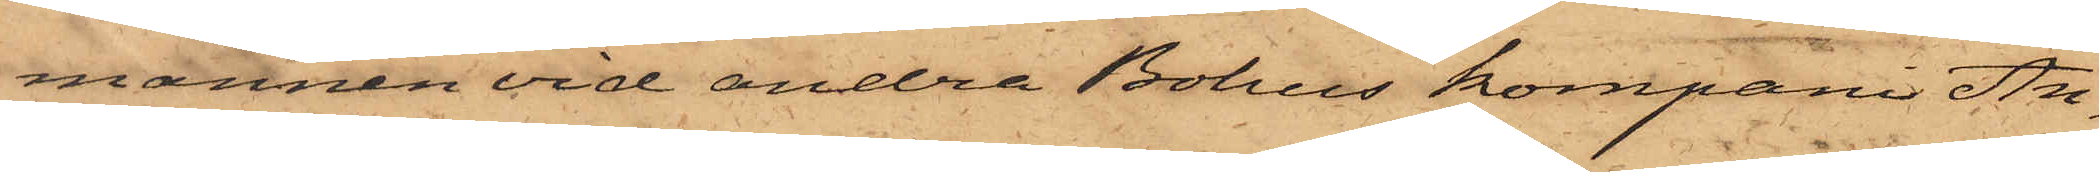mannen vid andra Bohus kompani An¬
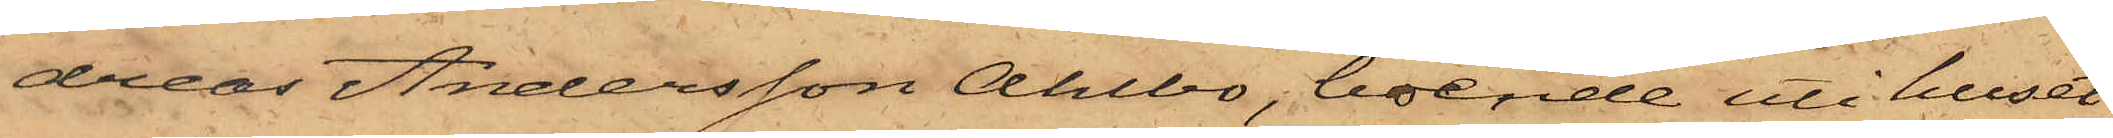dreas Andersson Ahlbo, boende uti huset
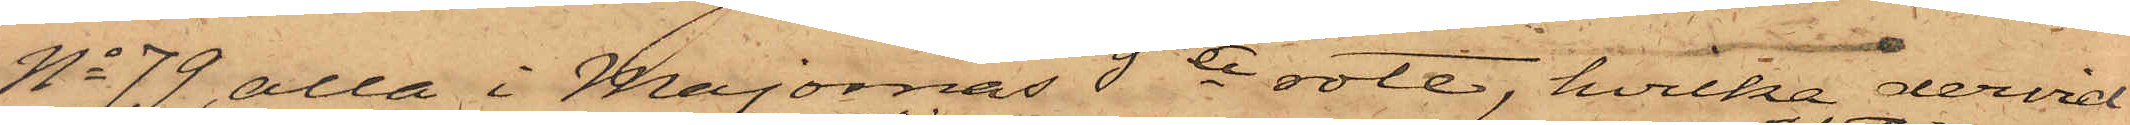No 79, alla i Majornas 5te rote, hvilka dervid
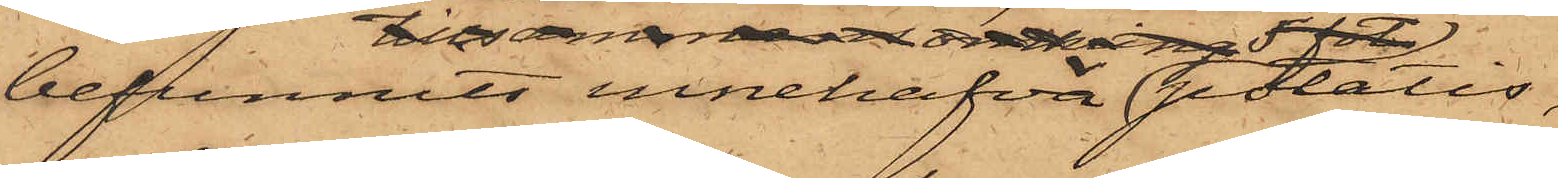befunnits innehafva potatis,
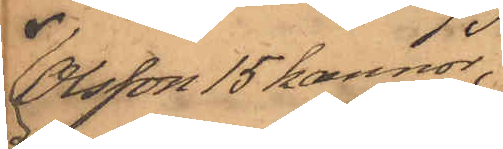Olsson 15 kannor,
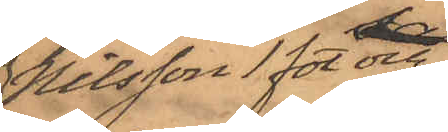Nilsson 1 fot och
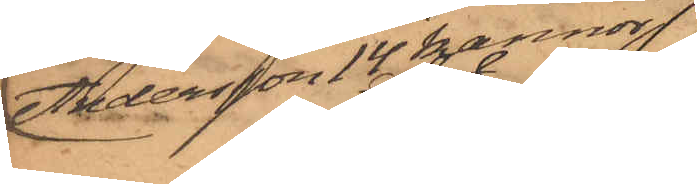Andersson 14 kannor
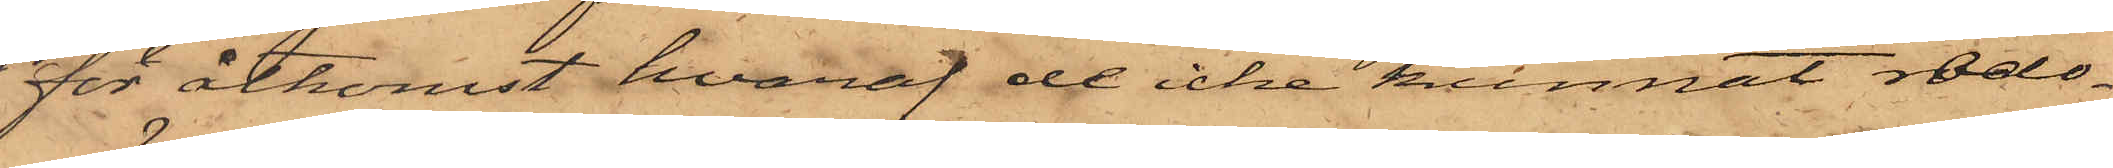för åtkomst hvaraf de icke kunnat redo¬
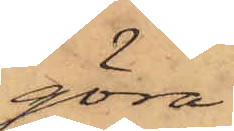göra.
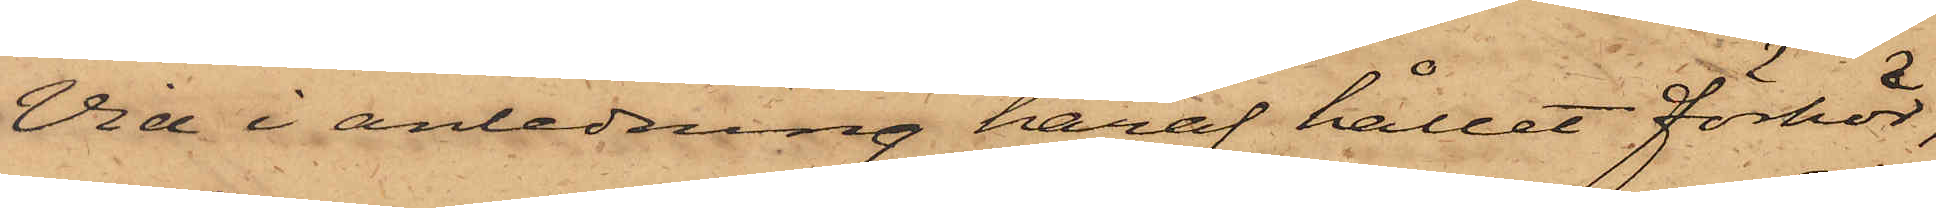Vid i anledning häraf hållet förhör,
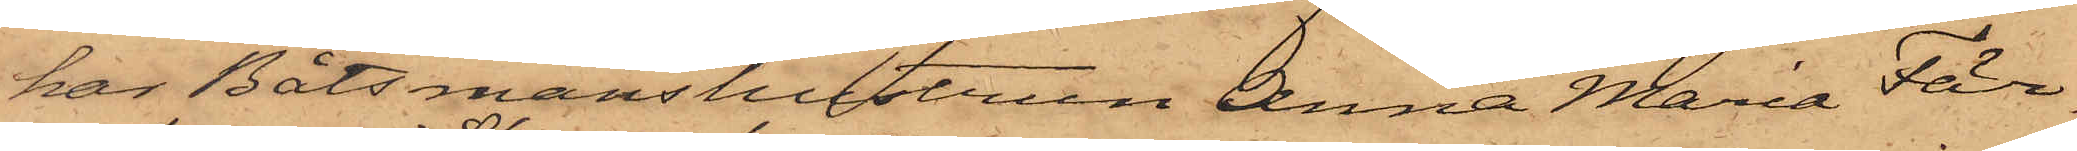har Båtsmanshustrun Anna Maria Fär¬
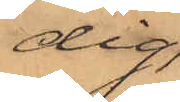dig,
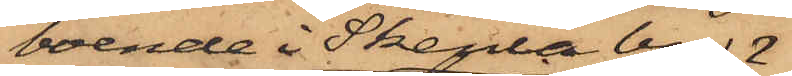boende i Skenla by
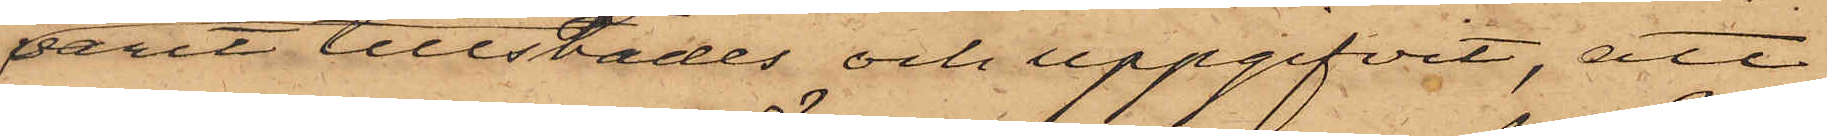varit tillstädes och uppgifvit, att
